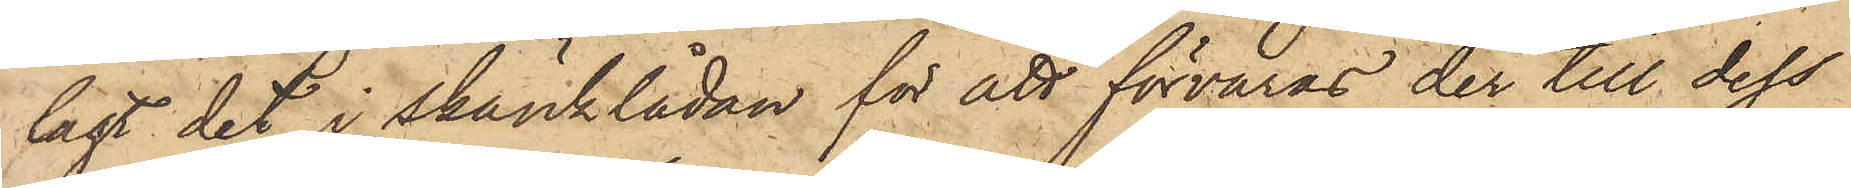lagt det i skänklådan för att förvaras der till dess
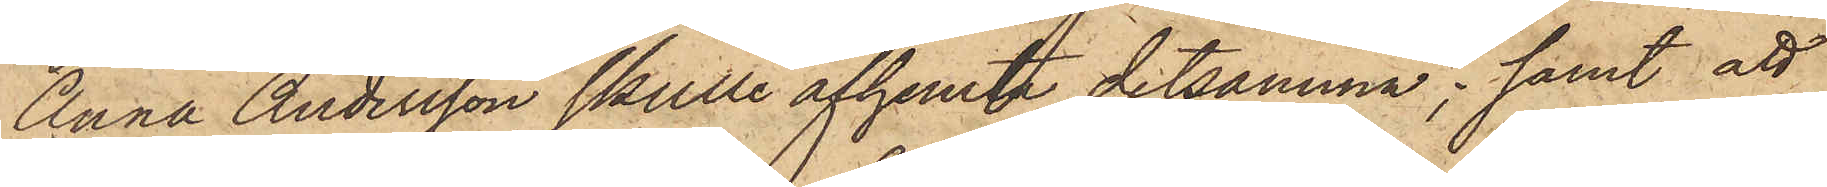Anna Andersson skulle afhemta detsamma; samt att
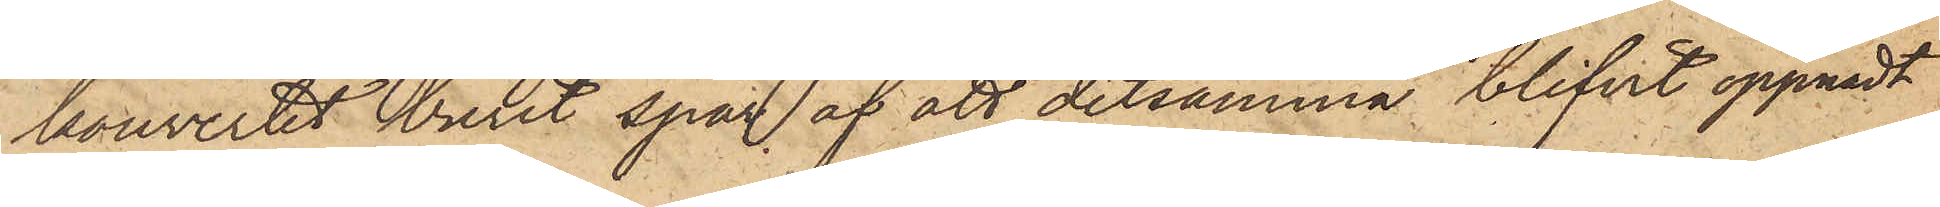kouvertet burit spår af att detsamma blifvit öppnadt
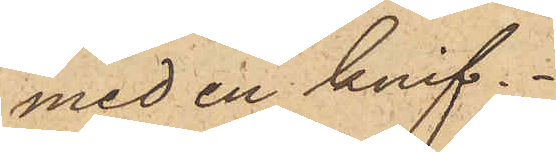med en knif.
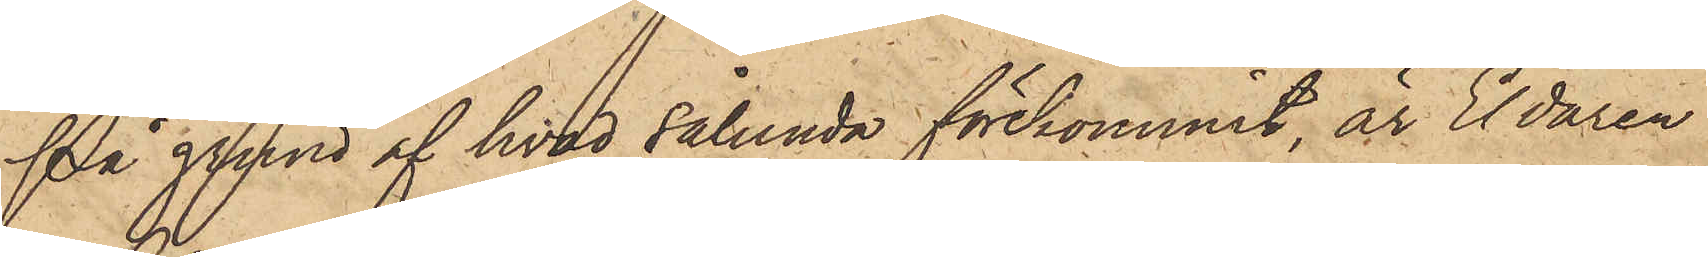På grund af hvad sålunda förekommit, är Eldaren
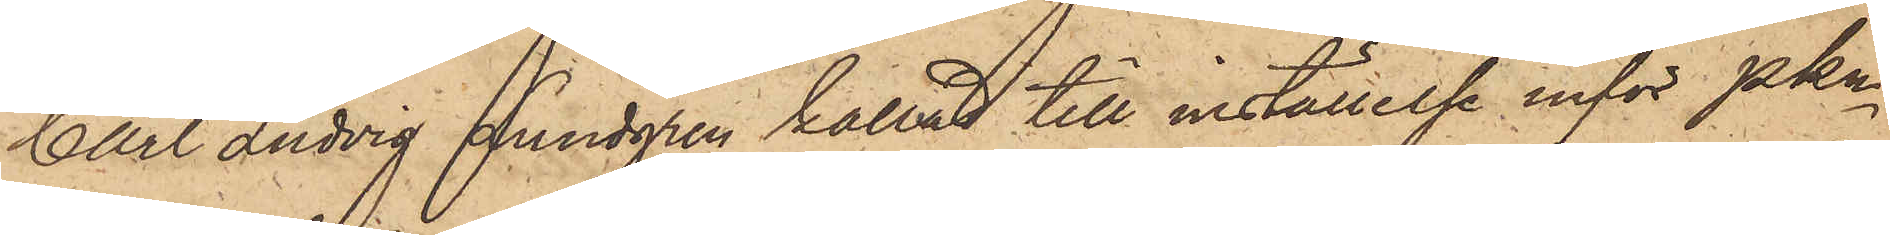Auxel Ludvig Lundgren kallad till inställelse inför Pkn
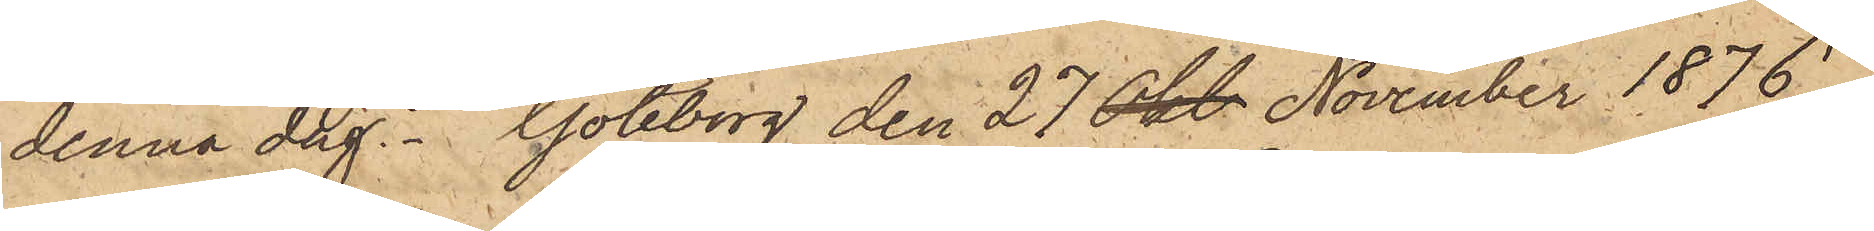denna dag. Göteborg den 27 Okt November 1876.
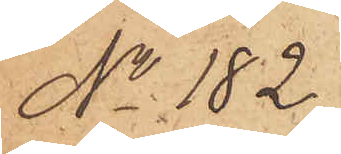No 182.
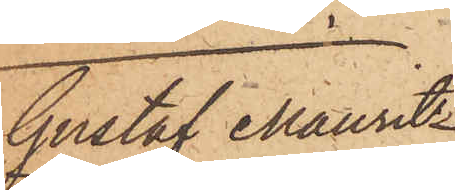Gustaf Mauritz
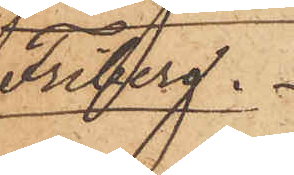Friberg.
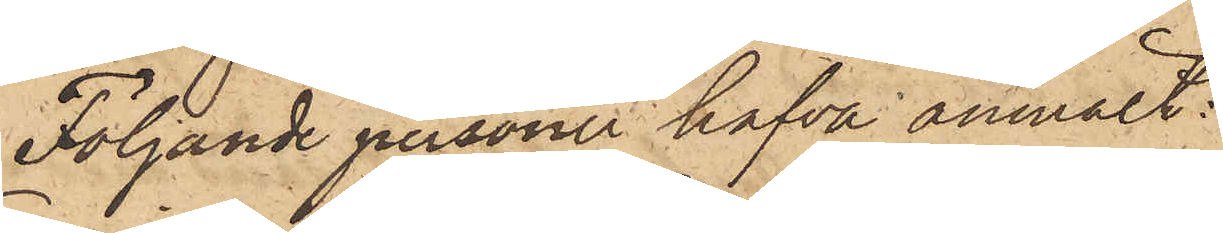Följande personer hafva anmält:
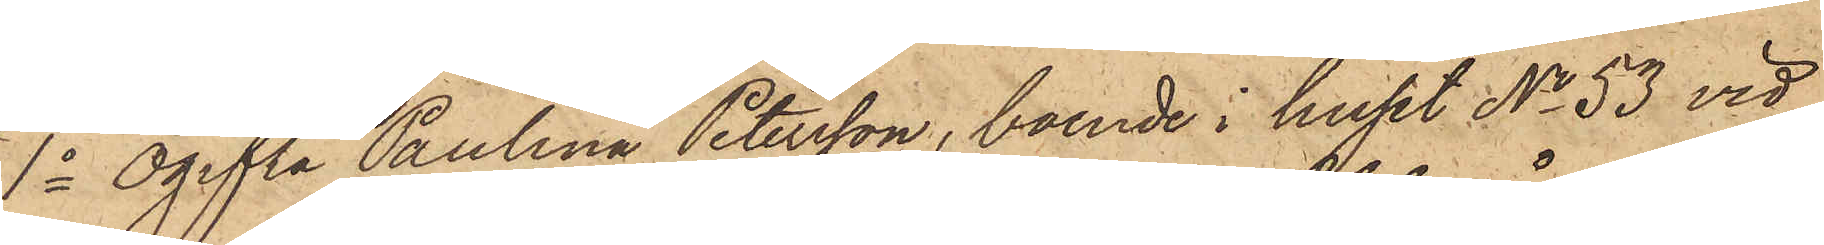1o Ogifta Paulina Petersson, boende i huset No 53 vid
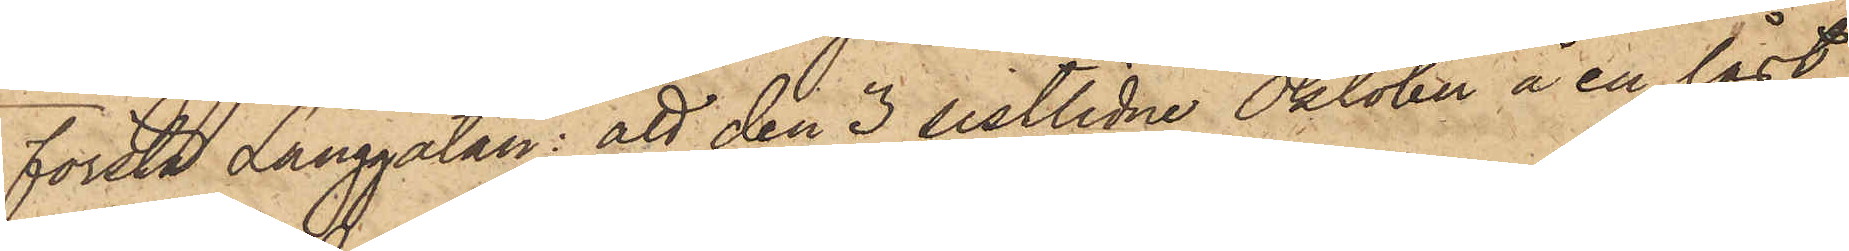första Långgatan: att den 3 sistlidne Oktober å en låst
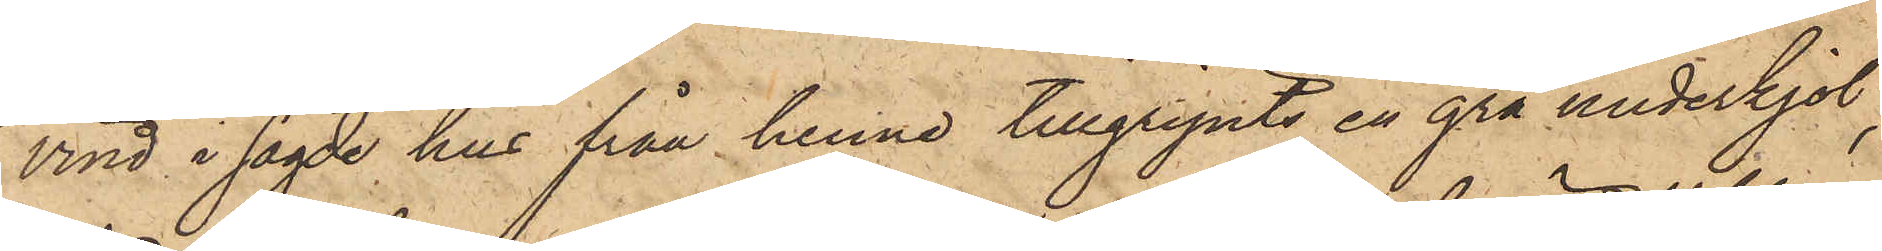vind i sagde hus från henne tillgripits en grå underkjol,
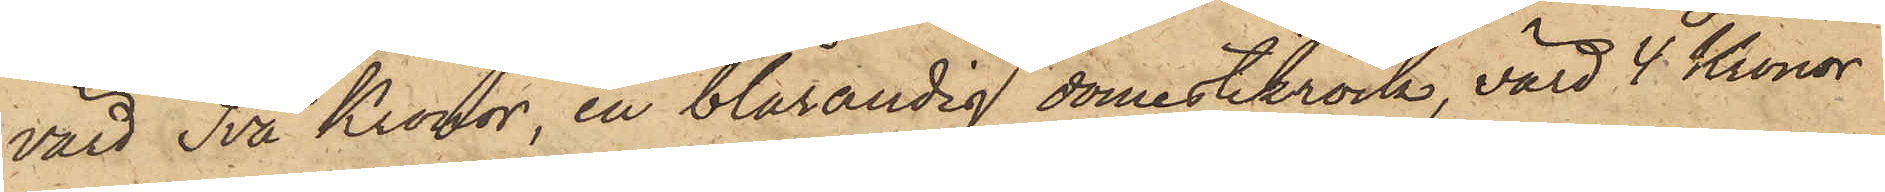värd Två Kronor, en blårandig domestikrock, värd 4 Kronor
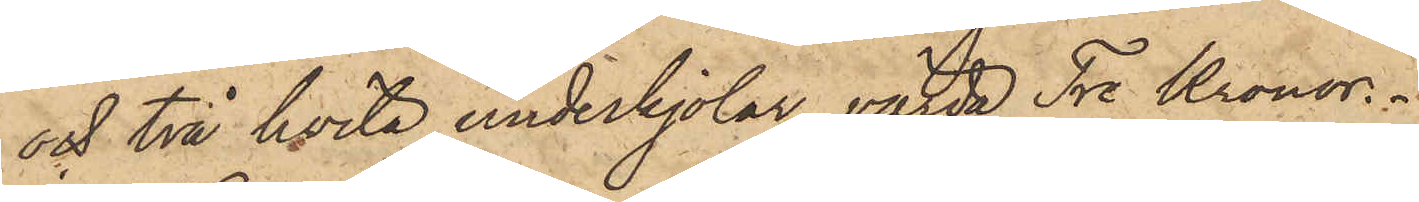och två hvita underkjolar, värda Tre Kronor.
